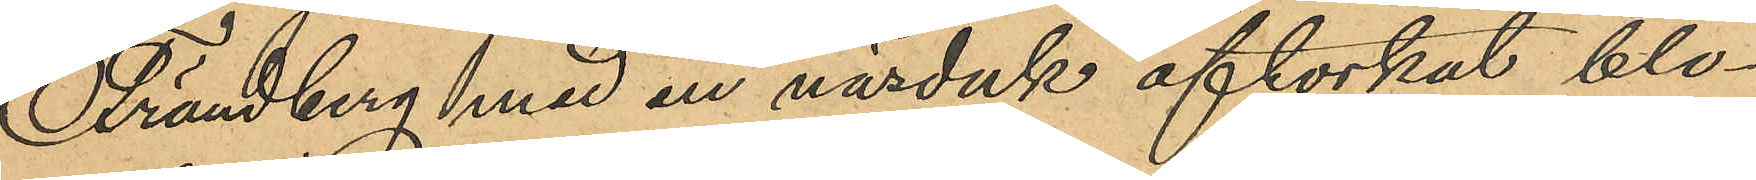Frändberg med en näsduk aftorkat blo¬
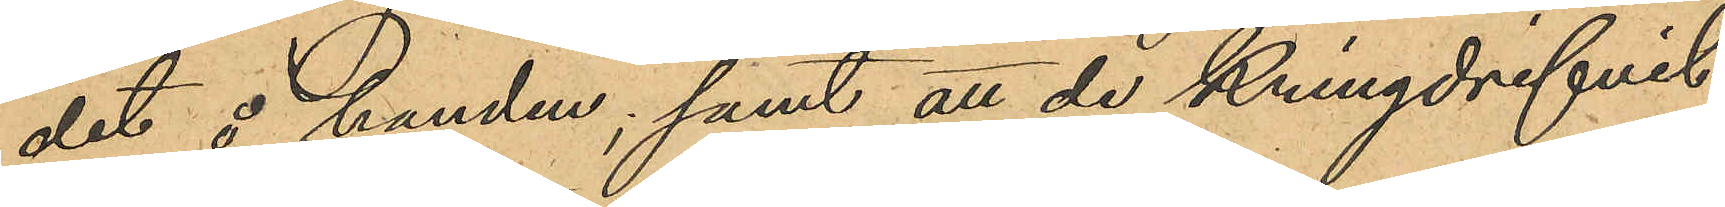det å handen; samt att de kringdrifvit
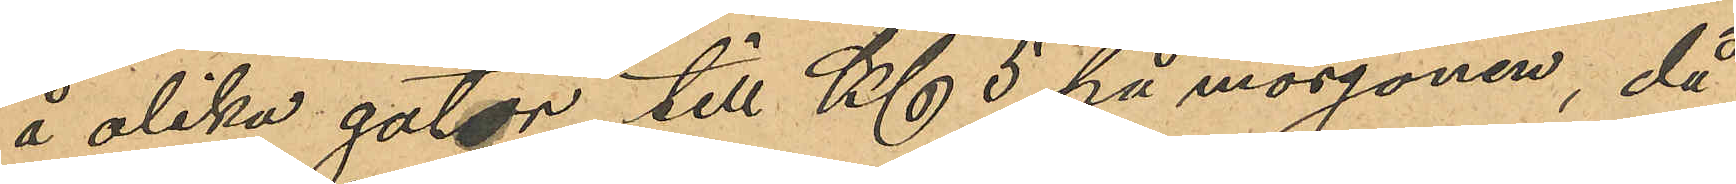å olika gator till Kl 5 på morgonen, då
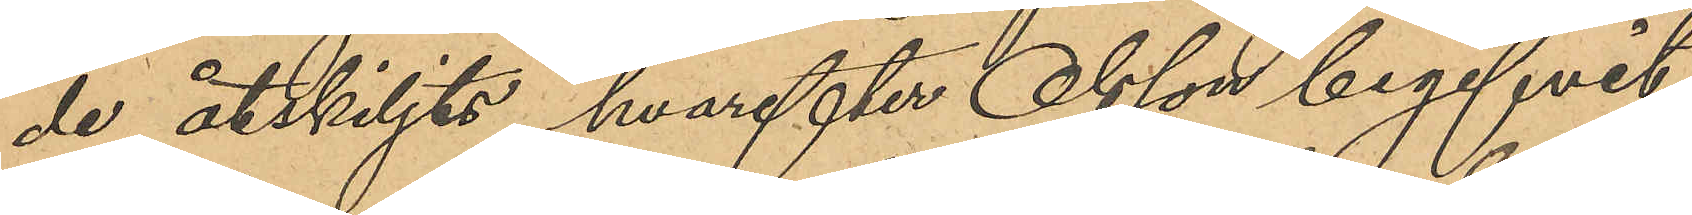de åtskiljts, hvarefter Olsson begifvit
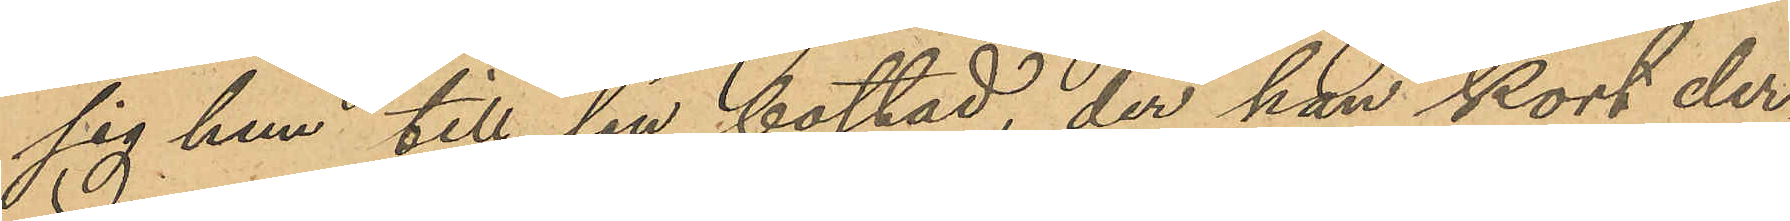sig hem till sin bostad, der han kort der¬
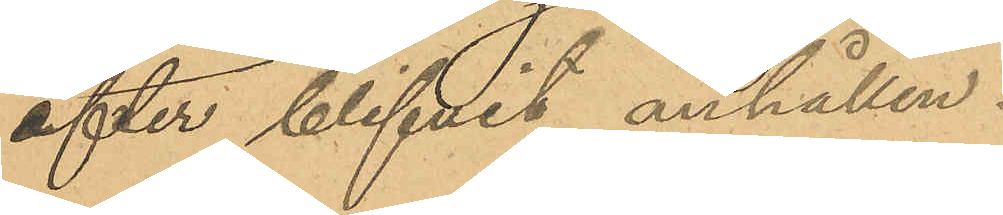efter blifvit anhållen.
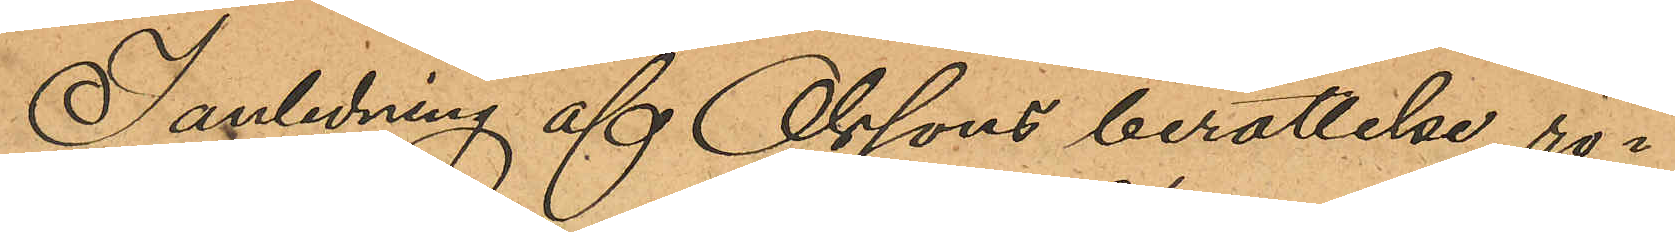I anledning af Olssons berättelse rö¬
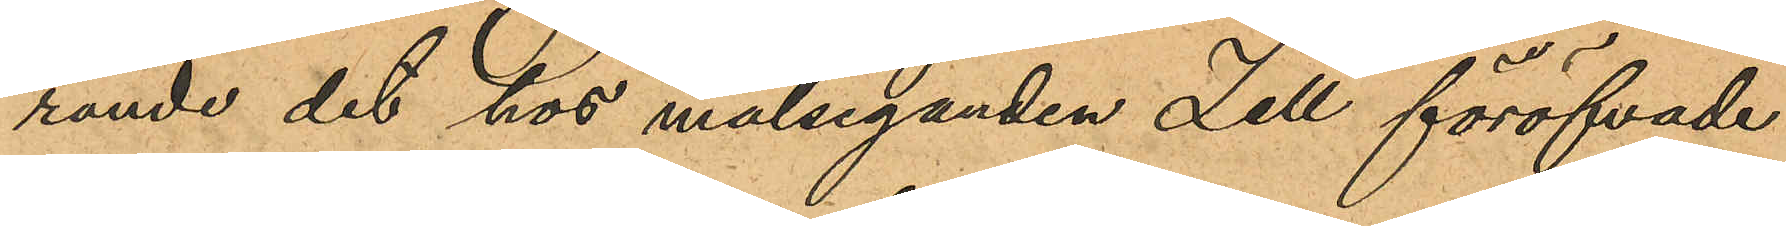rande det hos målseganden Zell föröfvade
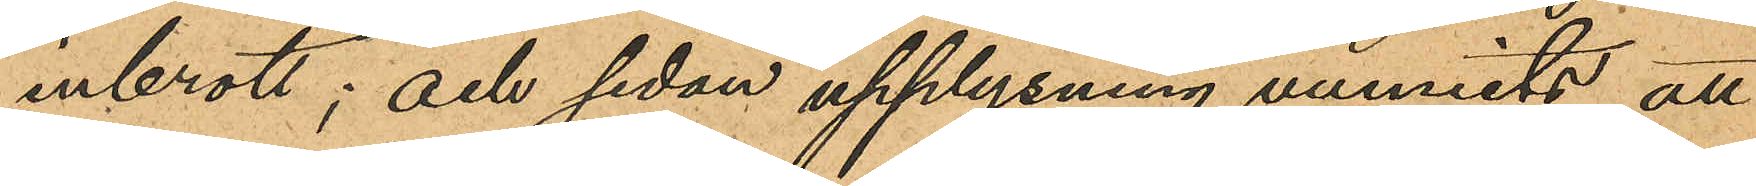inbrott; och sedan upplysning vunnits att
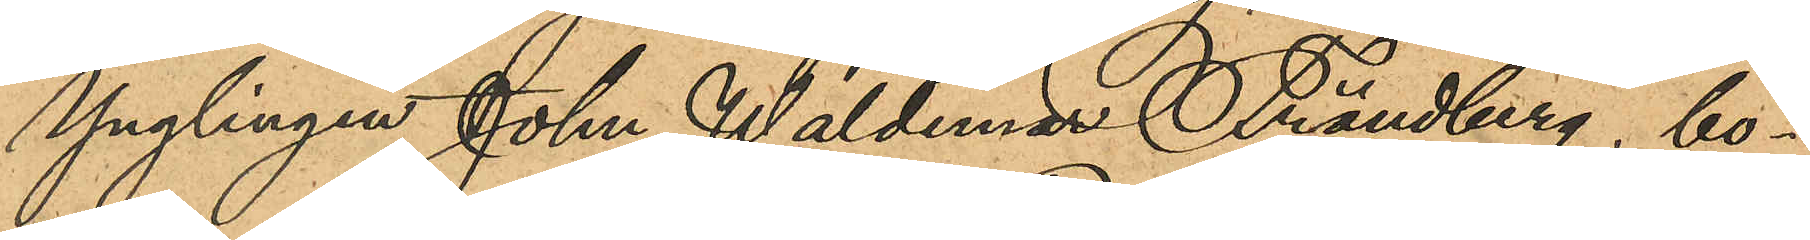Ynglingen John Waldemar Frändberg, bo¬
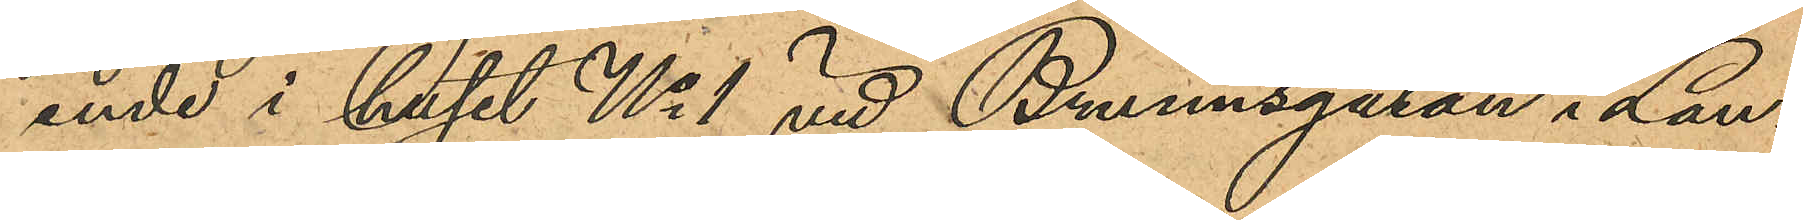ende i huset No 1 vid Brunnsgatan i Lan¬
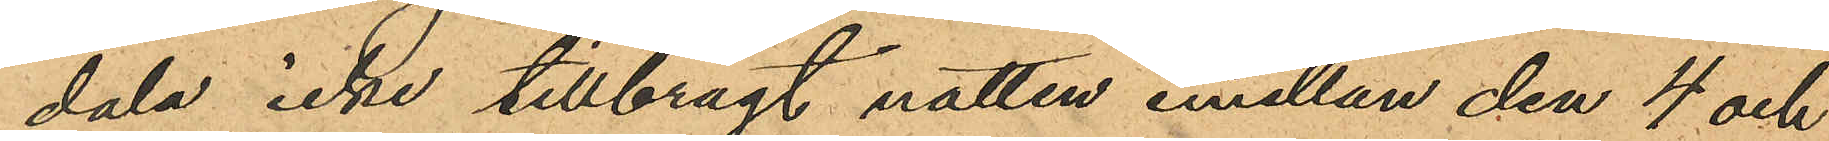dala icke tillbragt natten emellan den 4 och
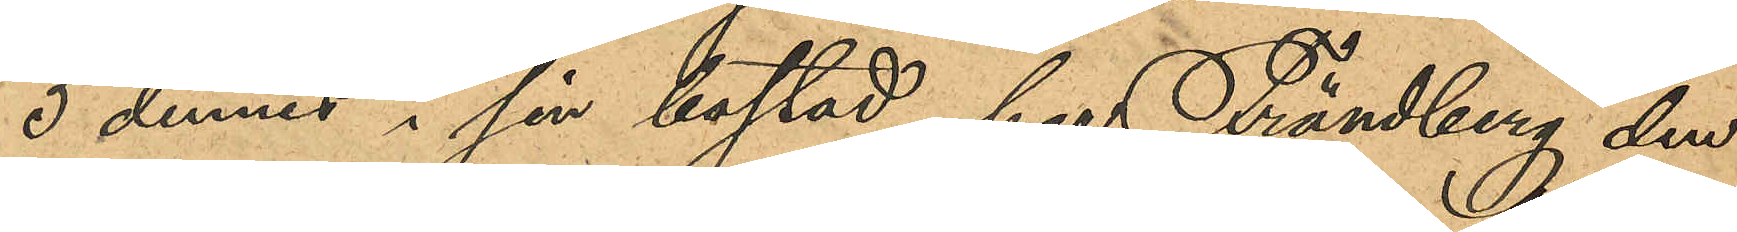5 dennes i sin bostad, har Frändberg den
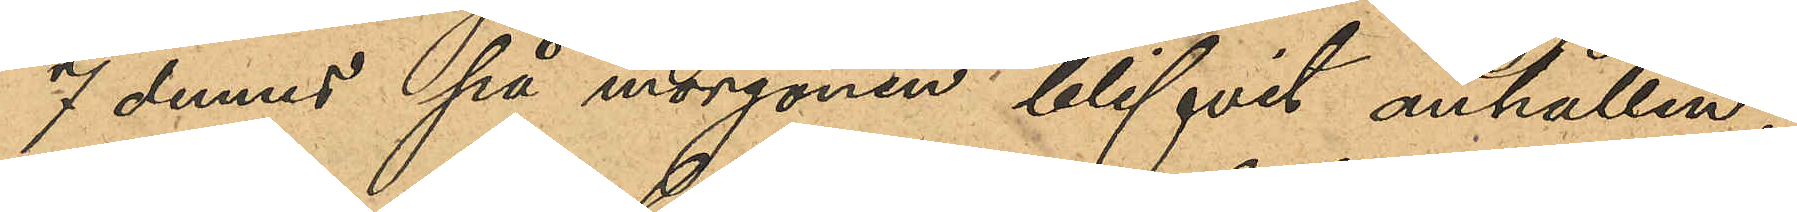7 dennes på morgonen blifvit anhållen;
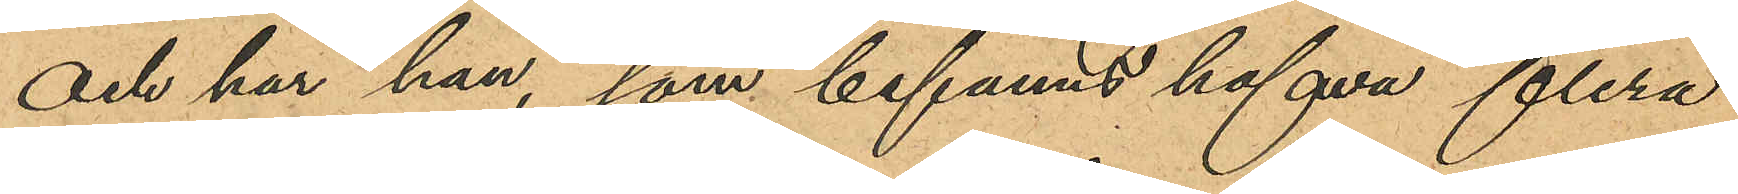och har han, som befanns hafva flera
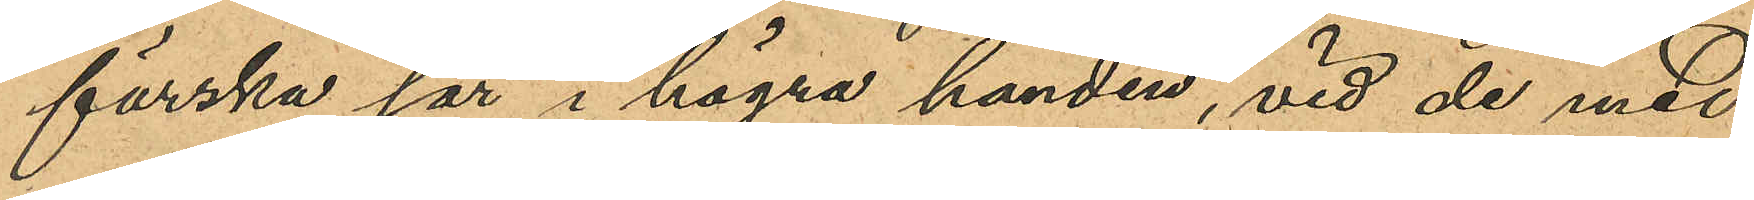färska sår i högra handen, vid de med
